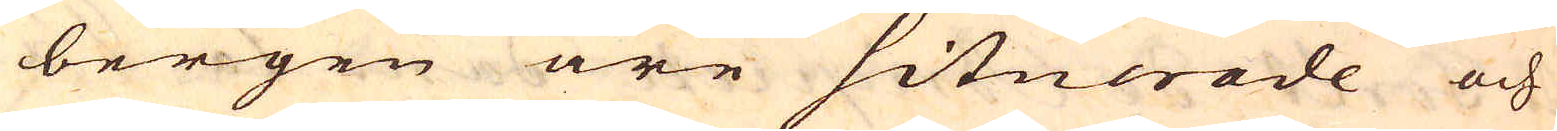bergen äre situerade och
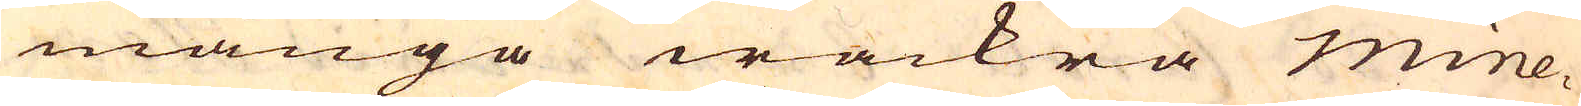många wackra mine-
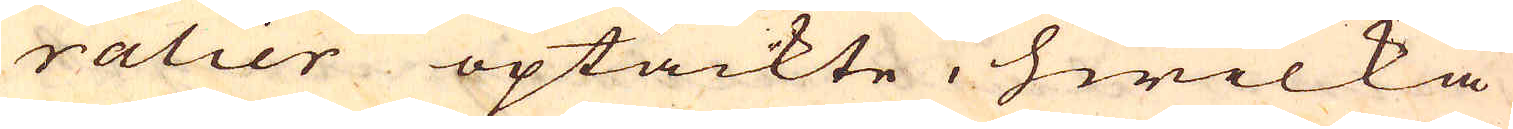ralier optäckte, hwilka
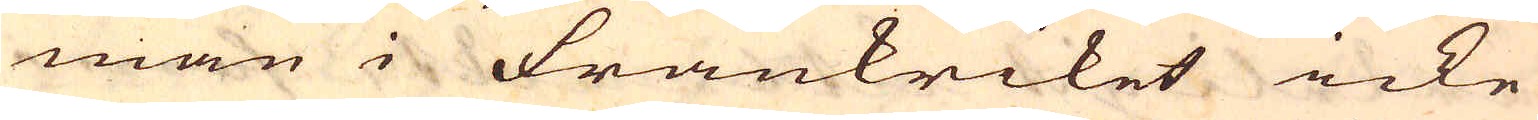man i Frankriket icke
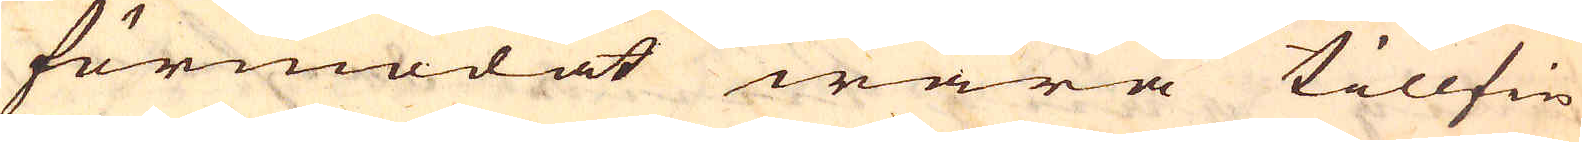förmodat wara tillfin
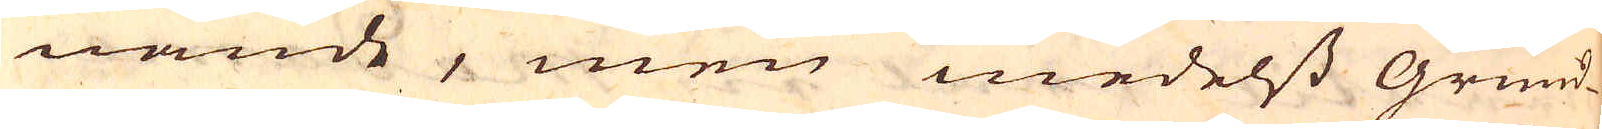nande, men medelst Grund-
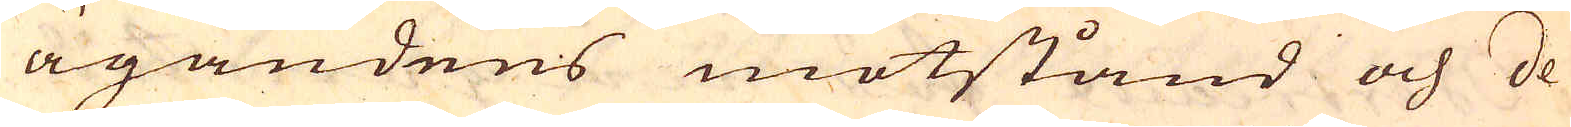ägandens motstånd och de
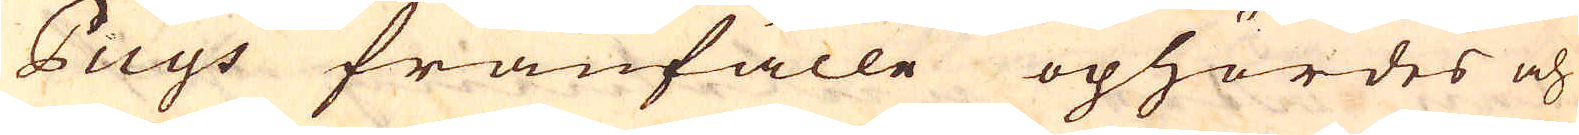Puys frånfälle ophördes och
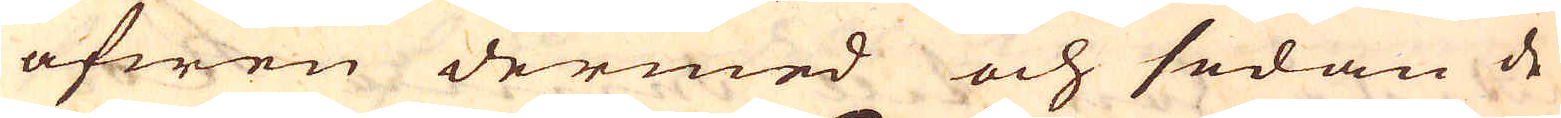äfwen dermed och sedan de
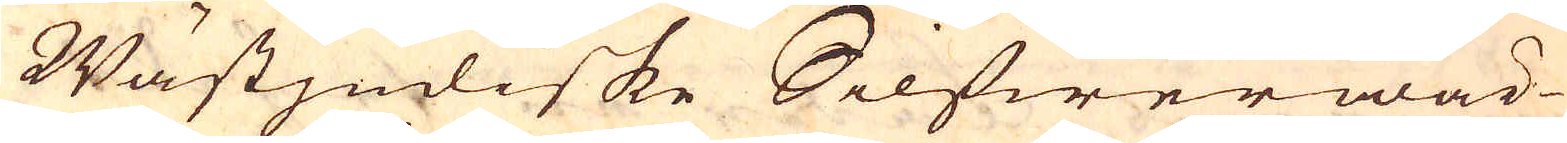Wästjndiske Silfwerwär-
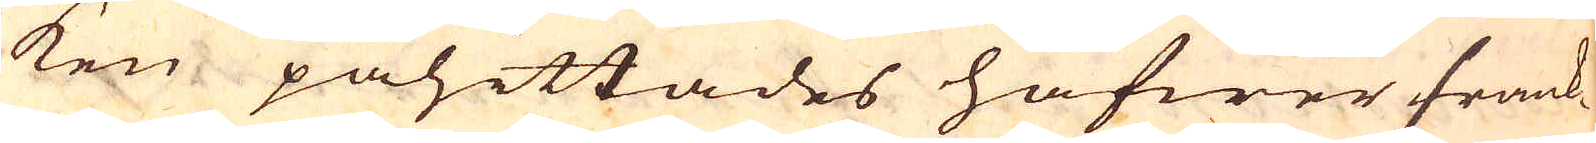ken påhittades hafwer frank-
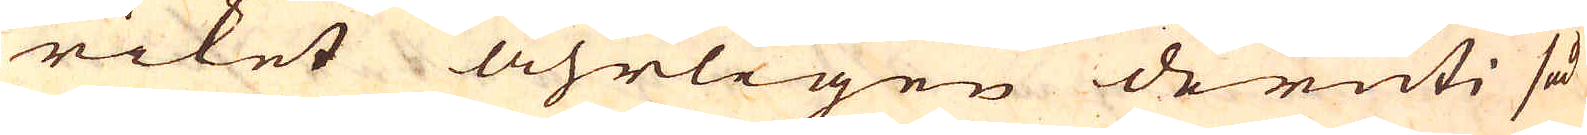riket åhrligen deruti så
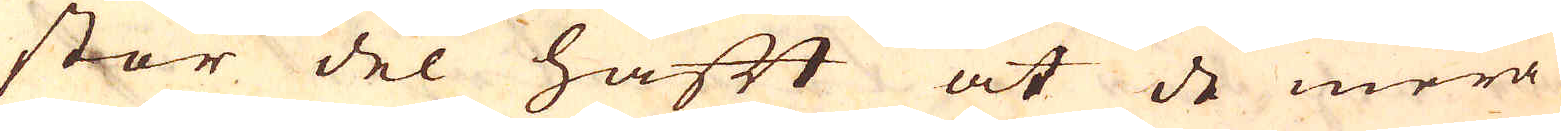stor del haft at de mera
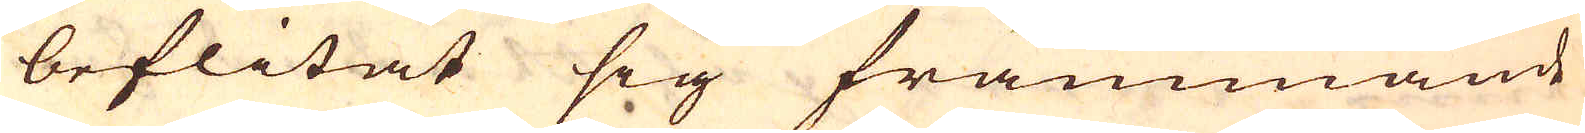beflitat sig främmande
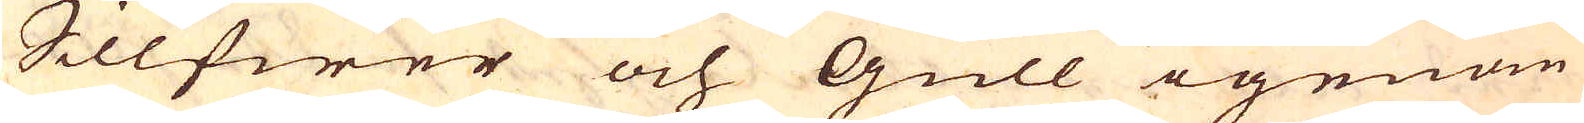Sillfwer och Gull igenom
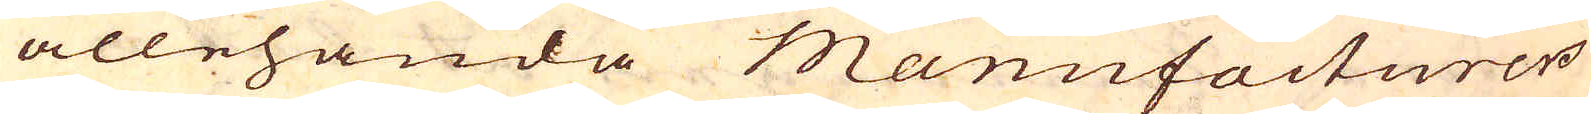allehanda Manufacturer
